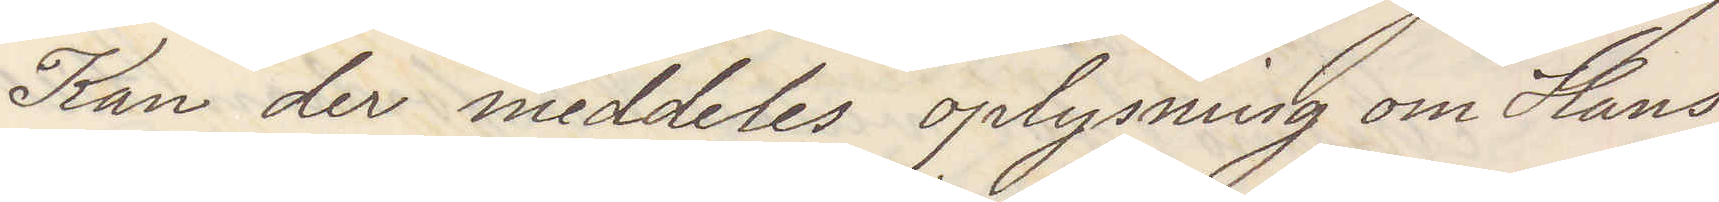Kan der meddeles oplysning om Hans
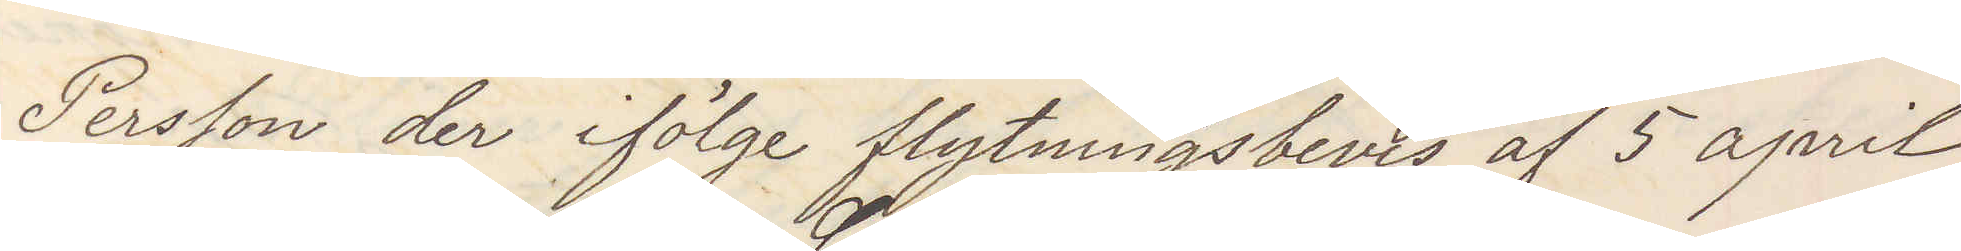Persson der ifölge flytningsbevis af 5 april
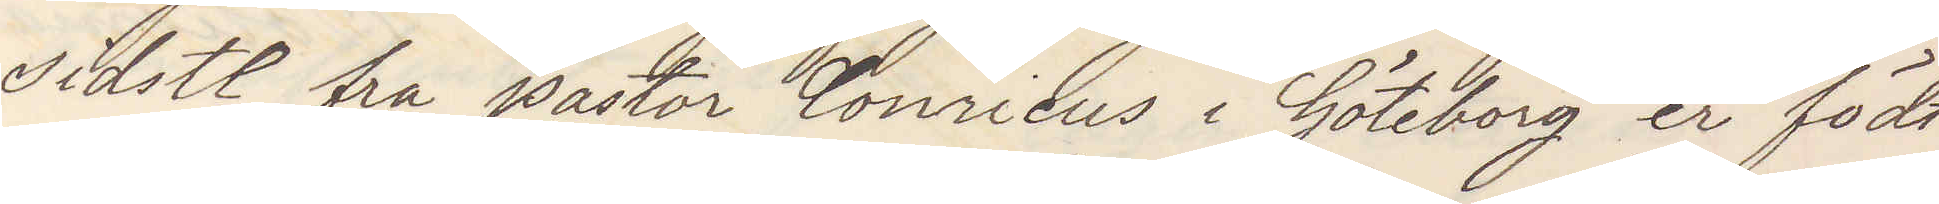sidst fra pator Conricus i Göteborg er födt
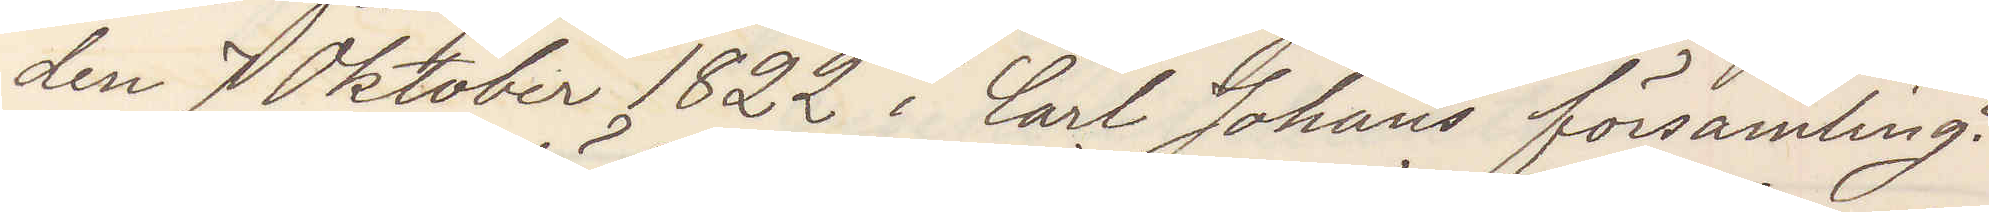den 7 Oktober 1822 i Carl Johans församling?
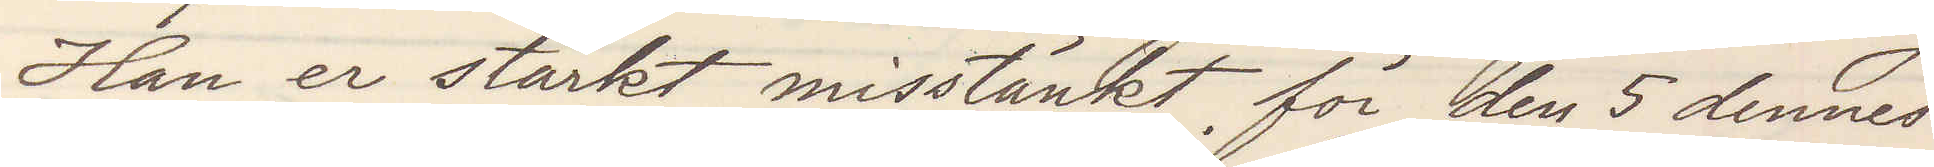Han är stärkt misstänkt för den 5 dennes
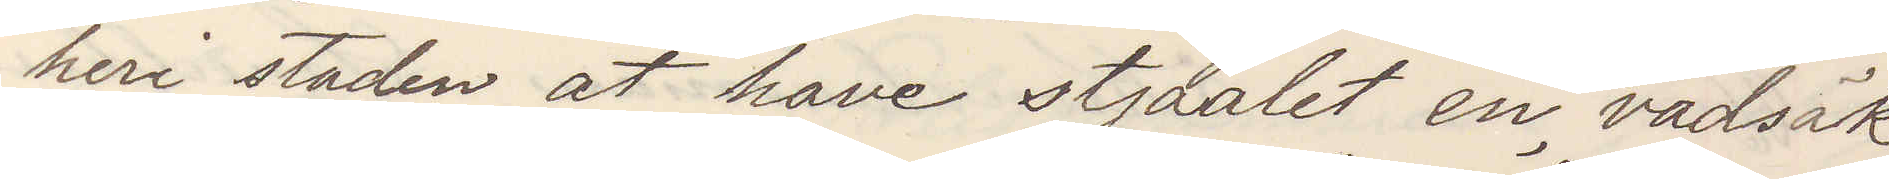heri staden at have stjaalet en vadsäk
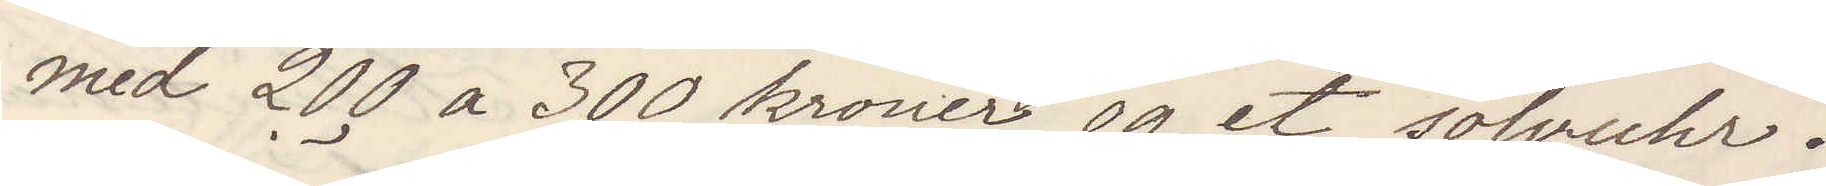med 200 a 300 kroner og et sölvuhr.
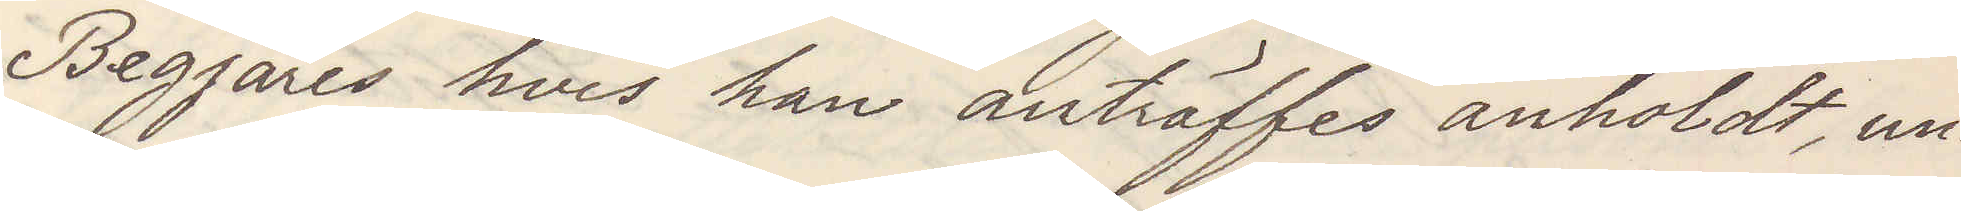Begjäres hvis han anträffes anholdt, un¬
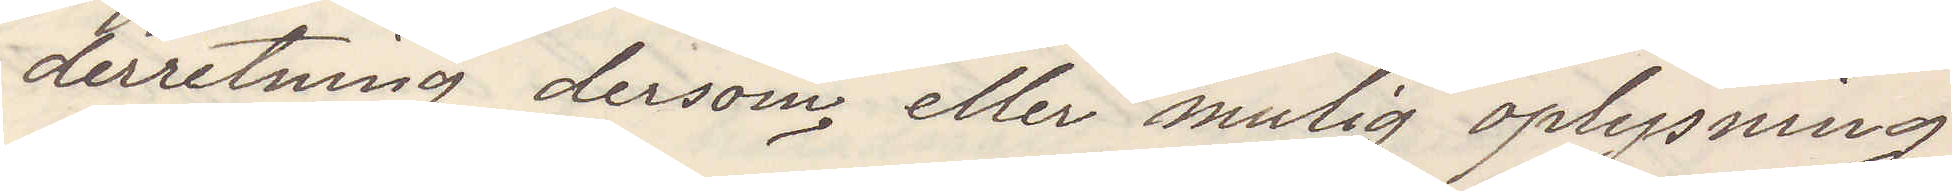derretning dersom, eller mulig oplysning
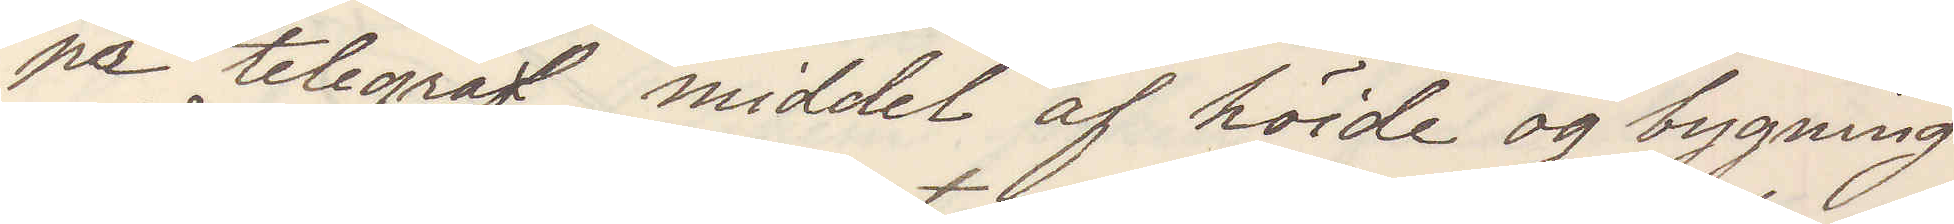pa telegraf middel af höide og bygning
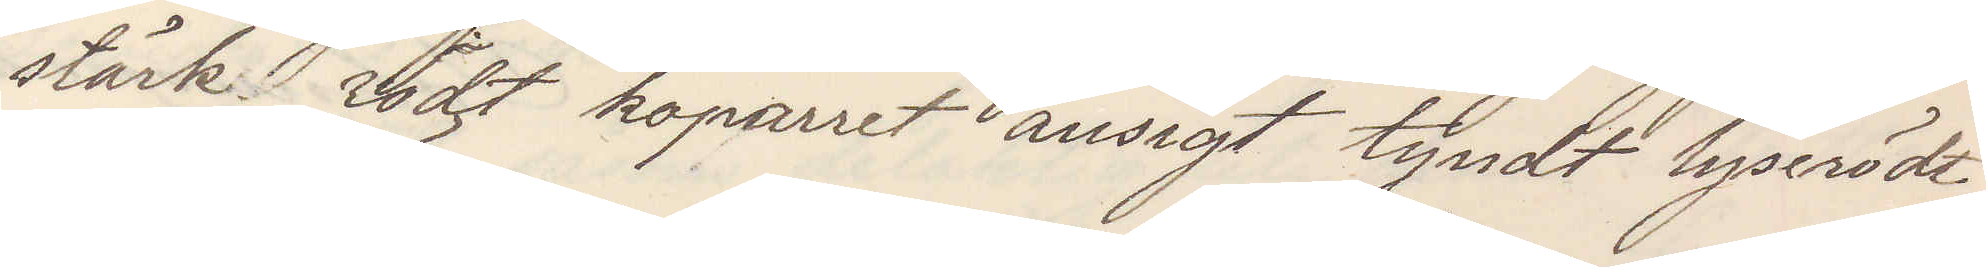stärk rödt koparret ansigt tyndt lyserödt
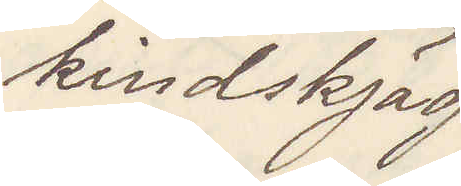kindskjäg
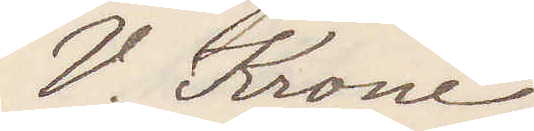V. Krone
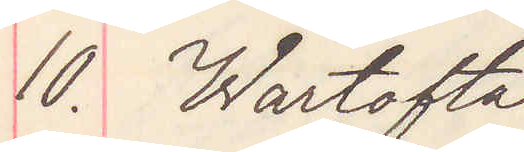10. Wartofta
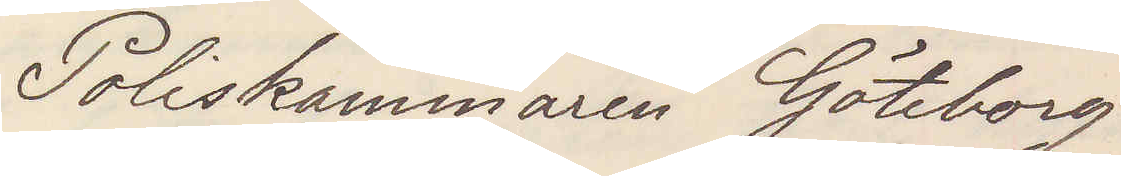Poliskammaren Göteborg
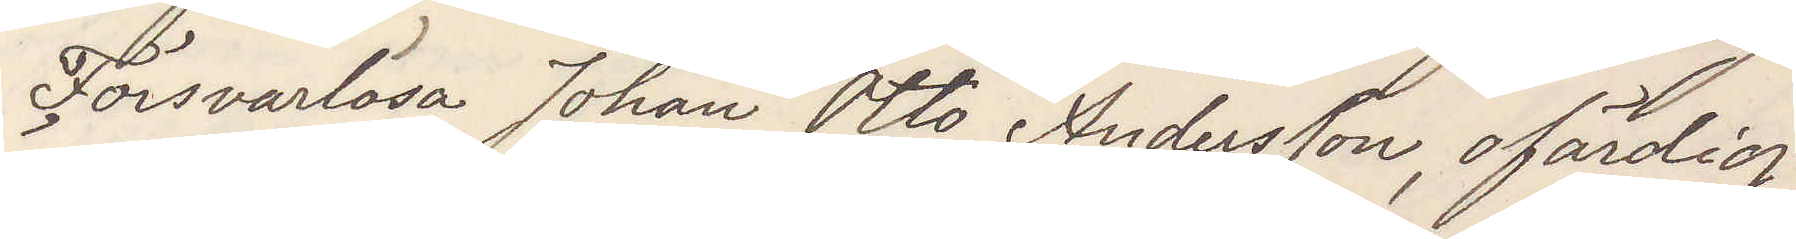Försvarslösa Johan Otto Andersson ofärdig
